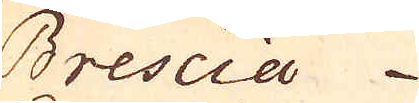Brescia 6400
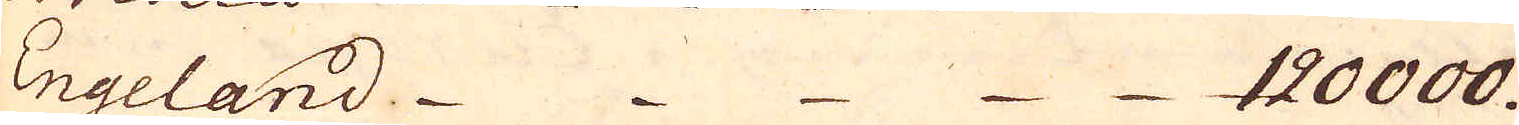Engeland. 120000.
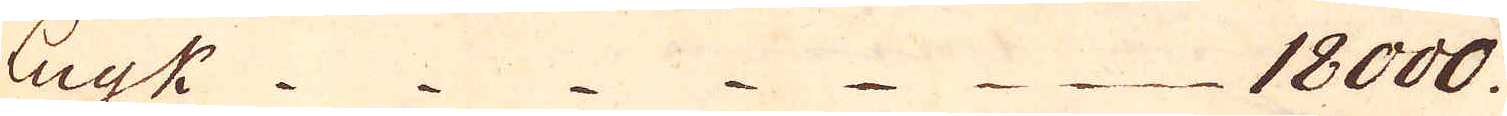Luyk 18000.
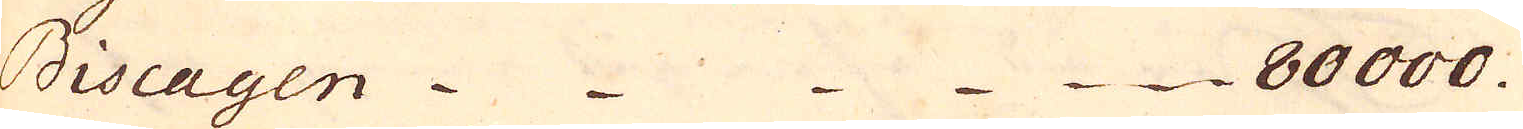Biscayen 80000.
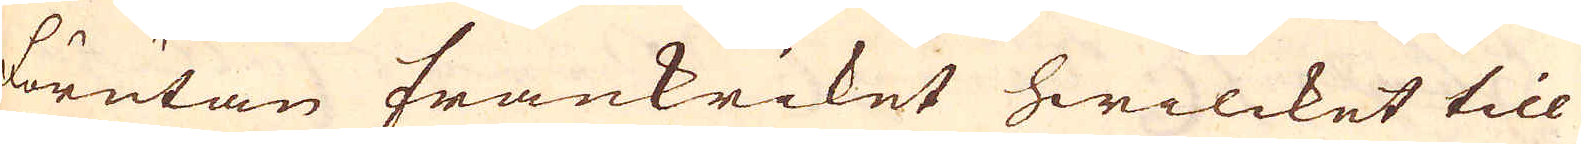förutan Frankriket hwilcket till
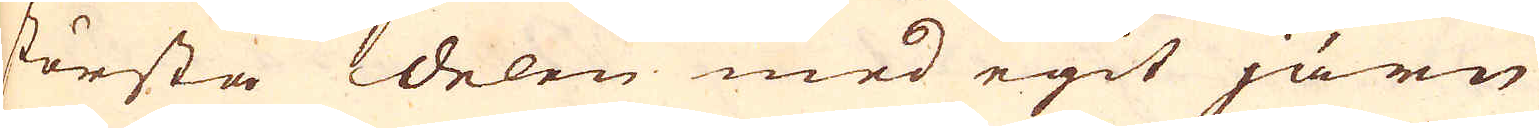största delen med egit järn
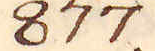877.
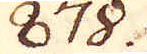878.
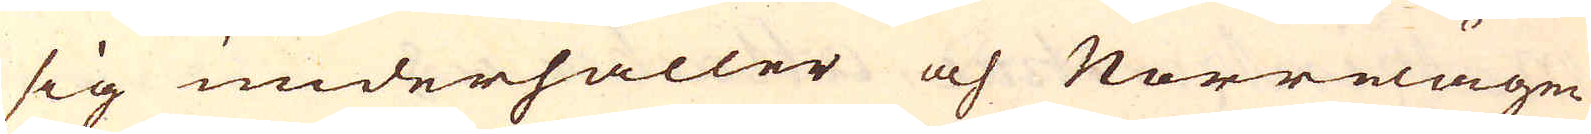sig underhåller och Norrwägen
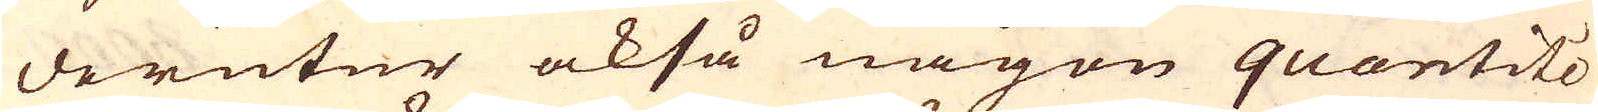derutur också någon quantité
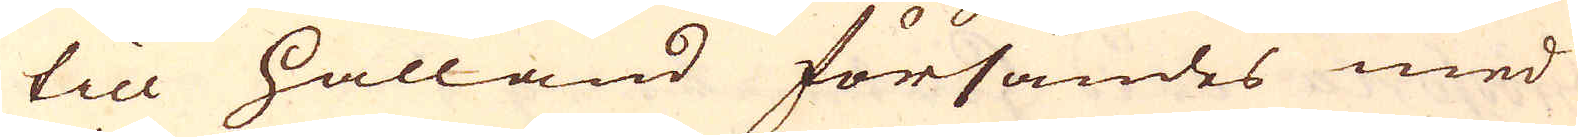till Hålland försändes med
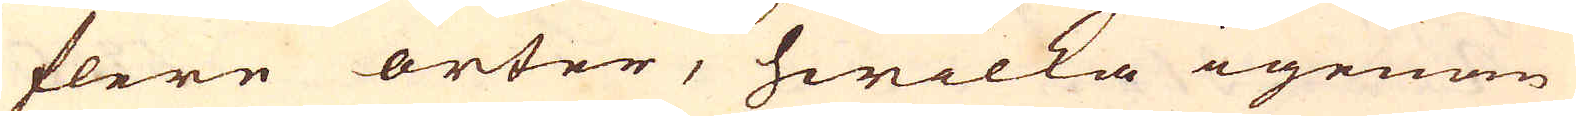flere orter, hwilka igenom
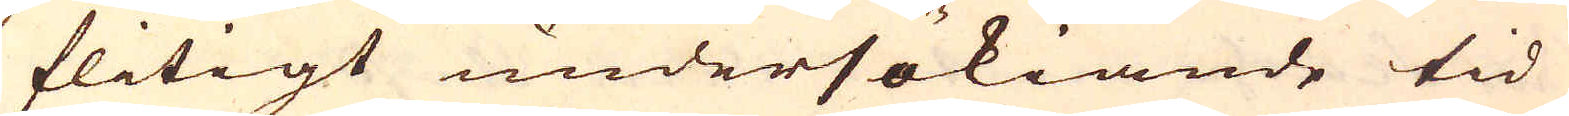flitigt undersökiande tid
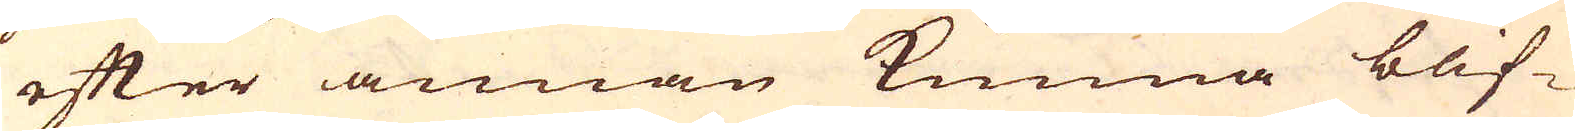efter annan kunna blif-
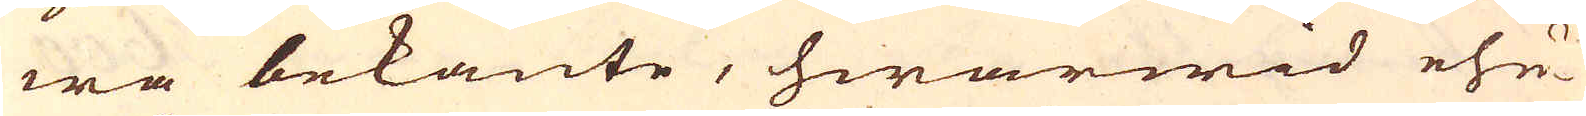wa bekante, hwarwid ehu-
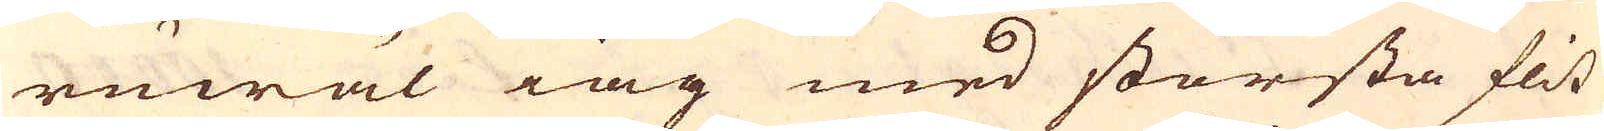ruwäl iag med största flit
